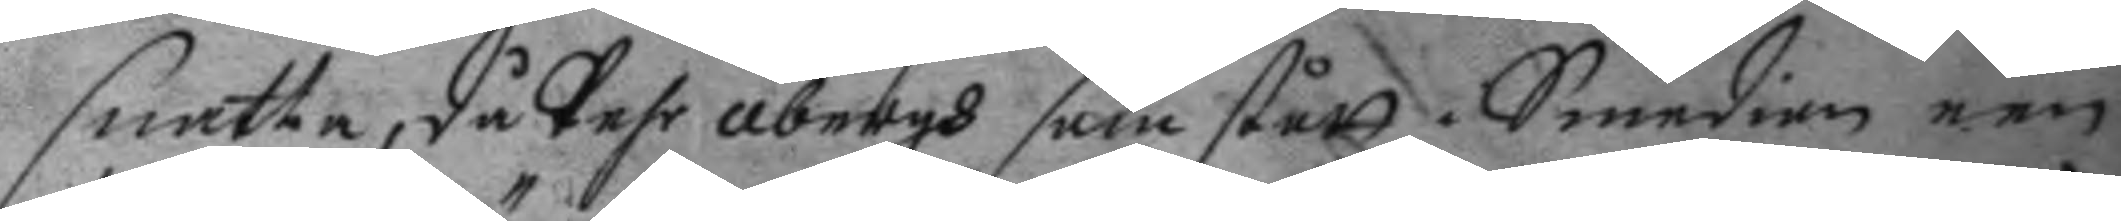snatta, då Pehr åbergh som stått i Smedian een
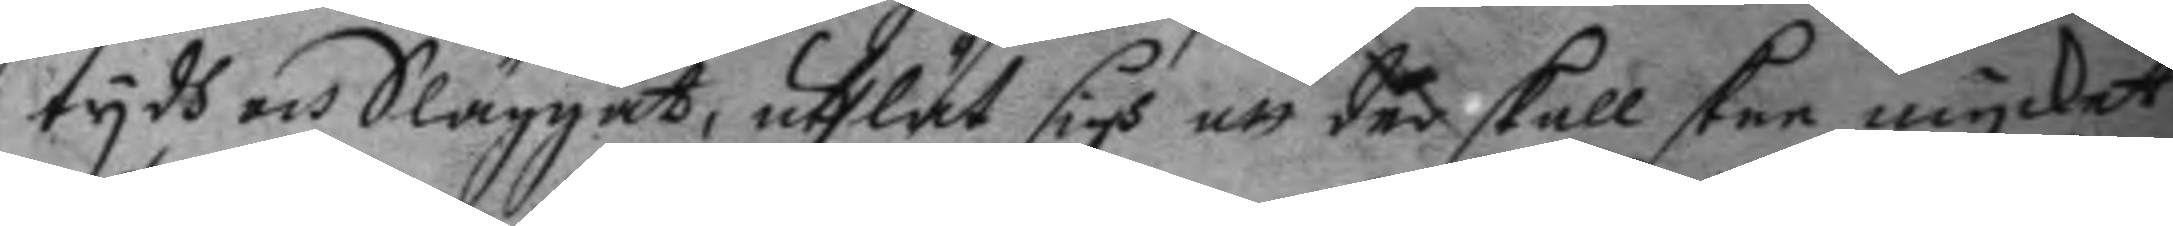tydh och Släggat, uthlät sigh att där skall skee mycket
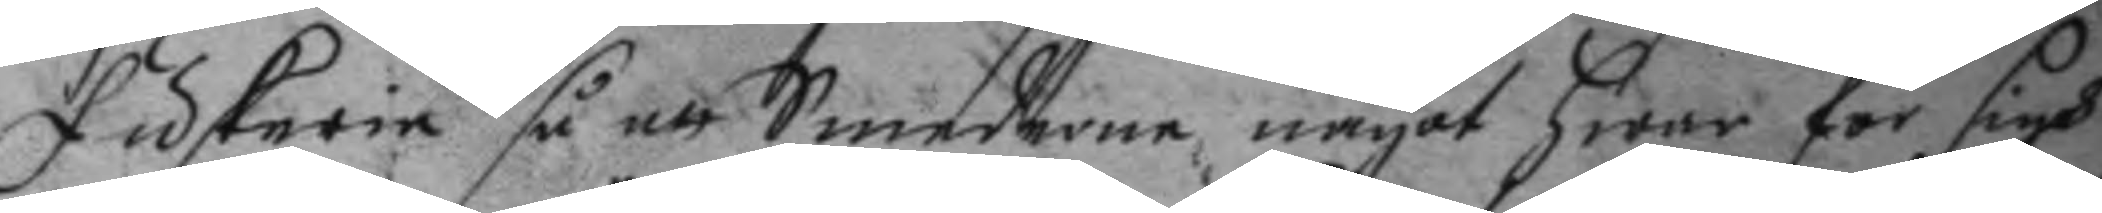fuskerie så att Smederne något hwar för sigh
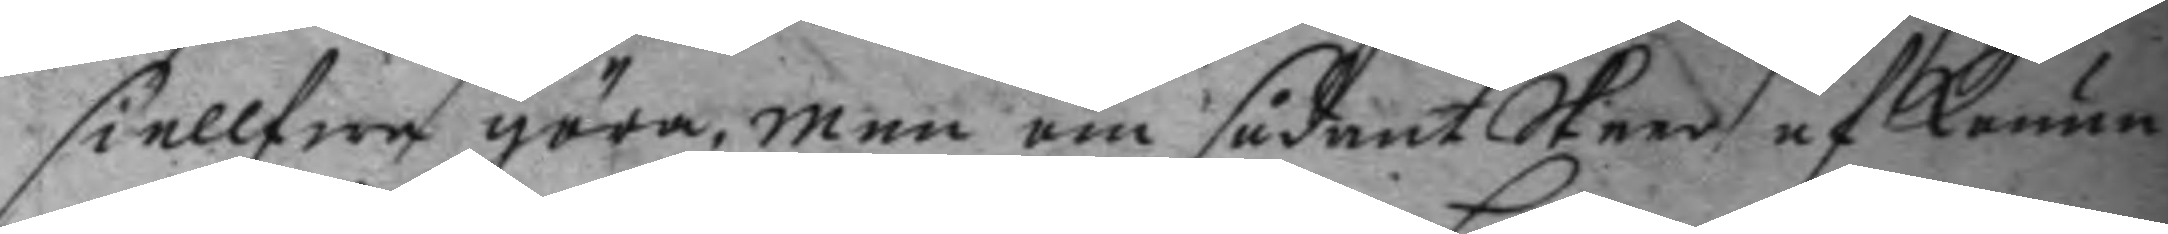siellfwe göra, men om sådant Skeer af konun¬
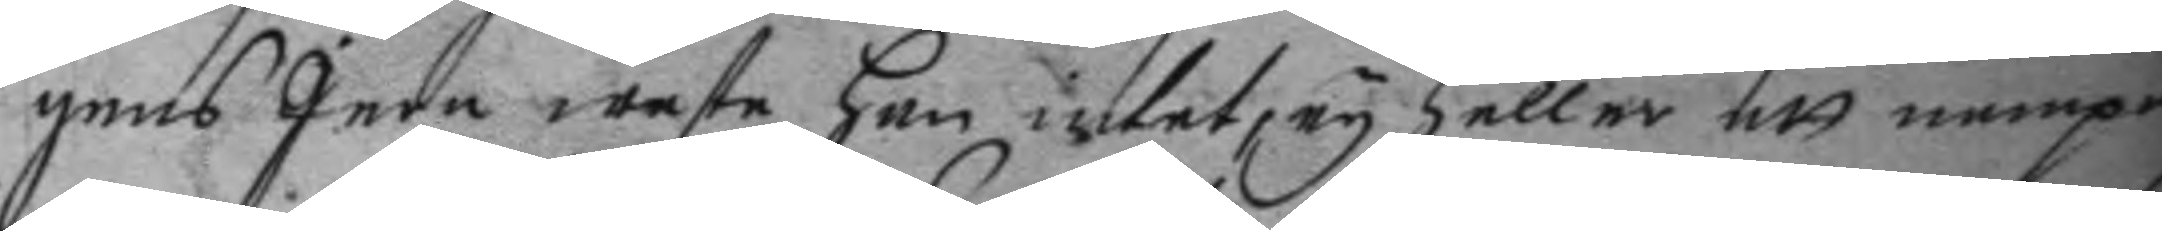gens Jern weste han intet, ey heller ett nampn
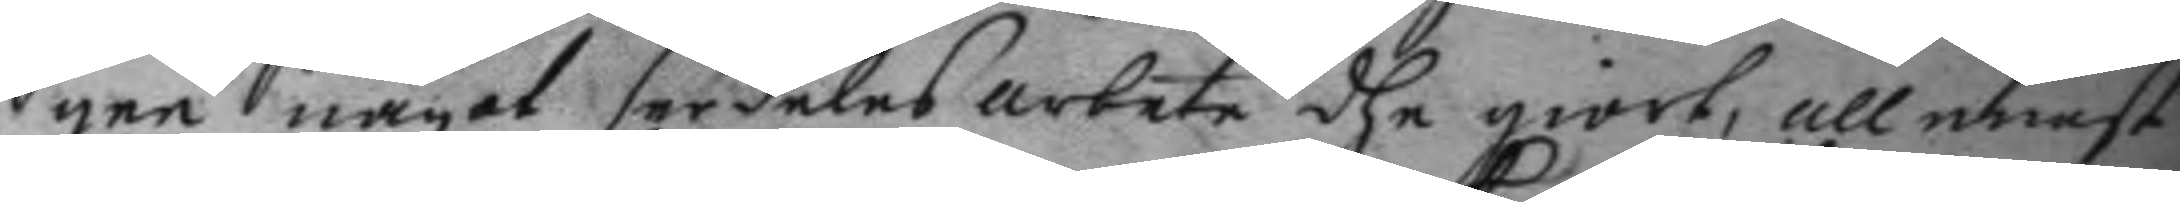gee något serdeles arbete dhe giort, allenast
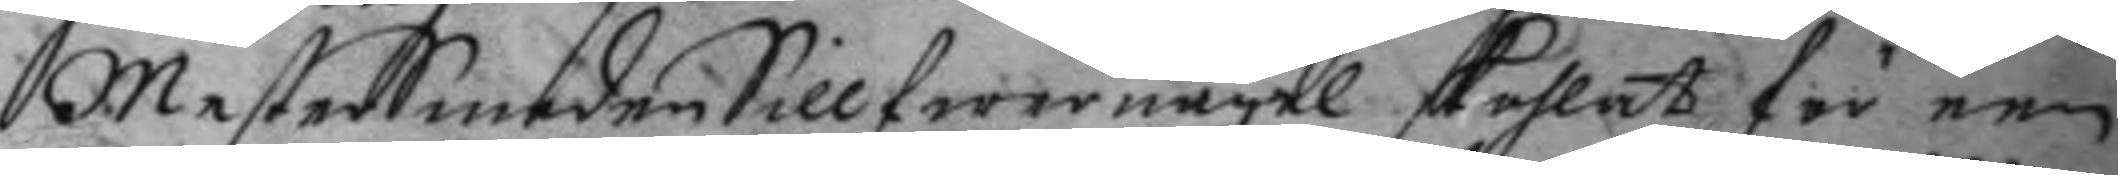MesterSmeden Sillfwernagel skohlat för een
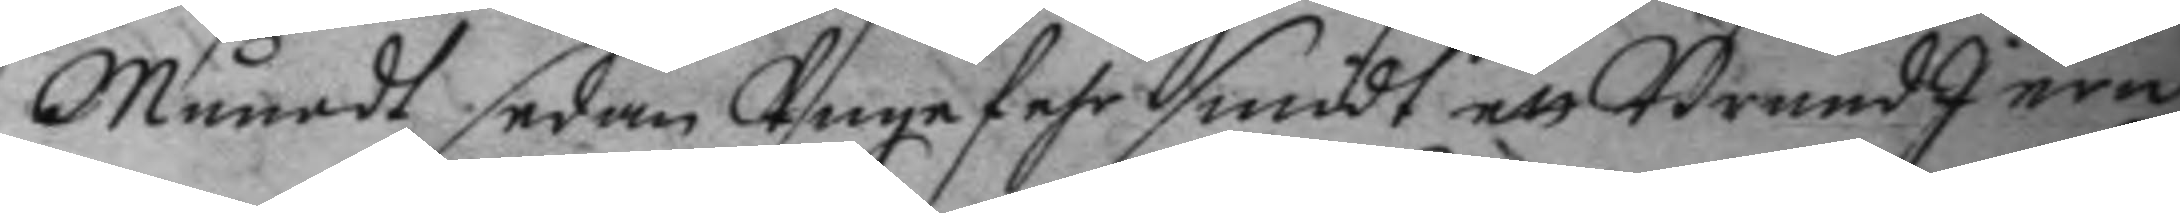Månadt sedan Unge Pehr smedt ett BrendJern
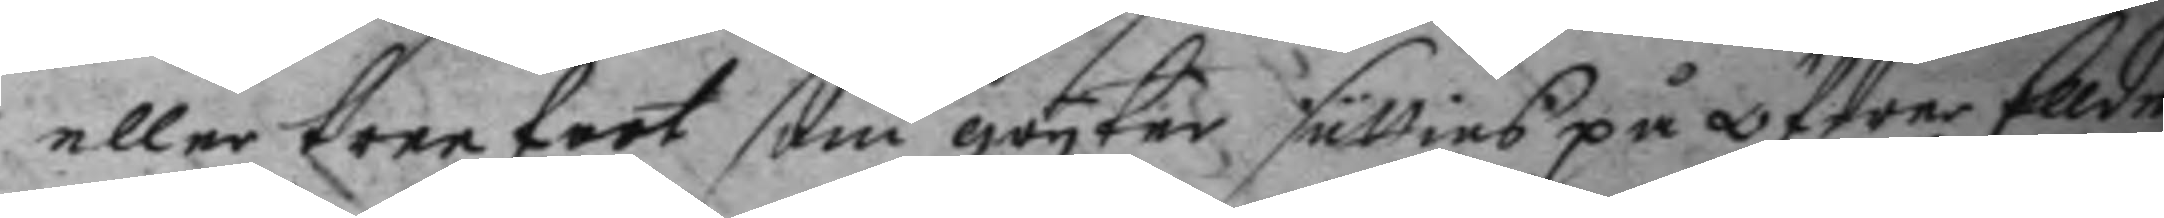eller treefoot som grytor sättias på öfwer Ellden
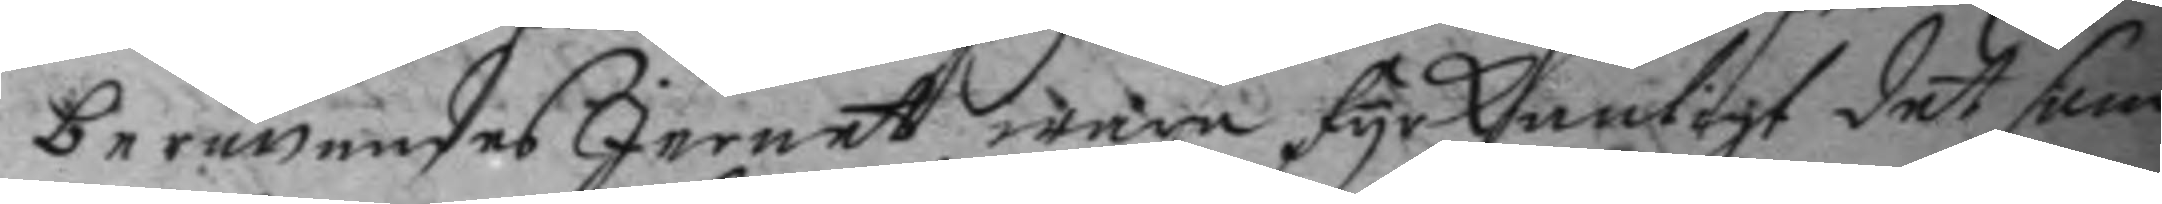berättandes Jernett wara fyrkantigt det som
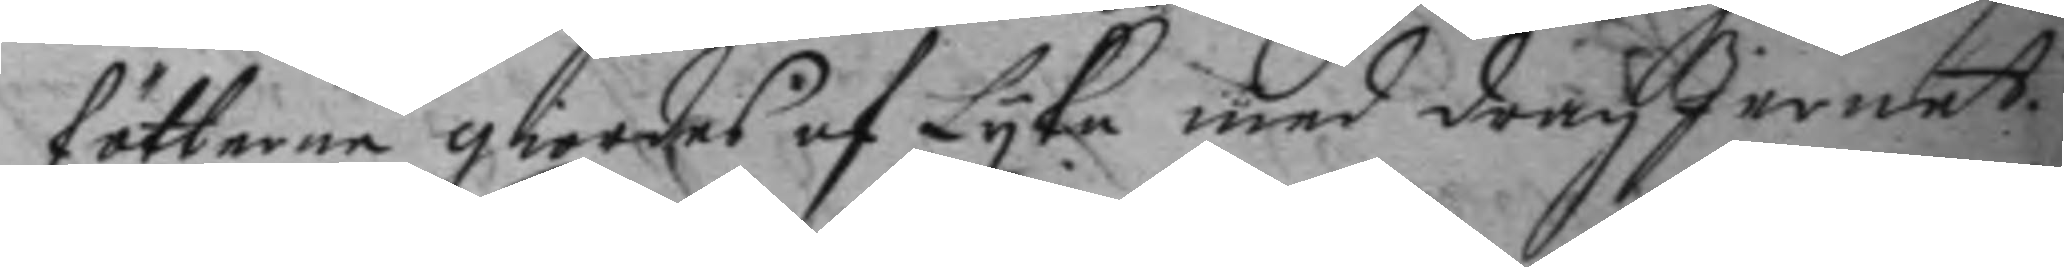fötterne giordes af Lyka med drag Jernet.
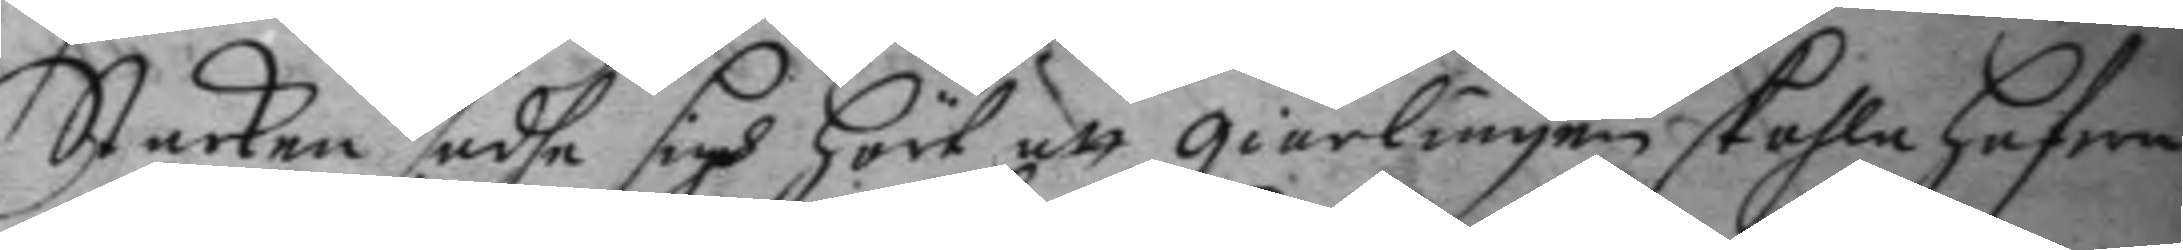Starken sadhe sigh hört att giärlingen skogla hafwa
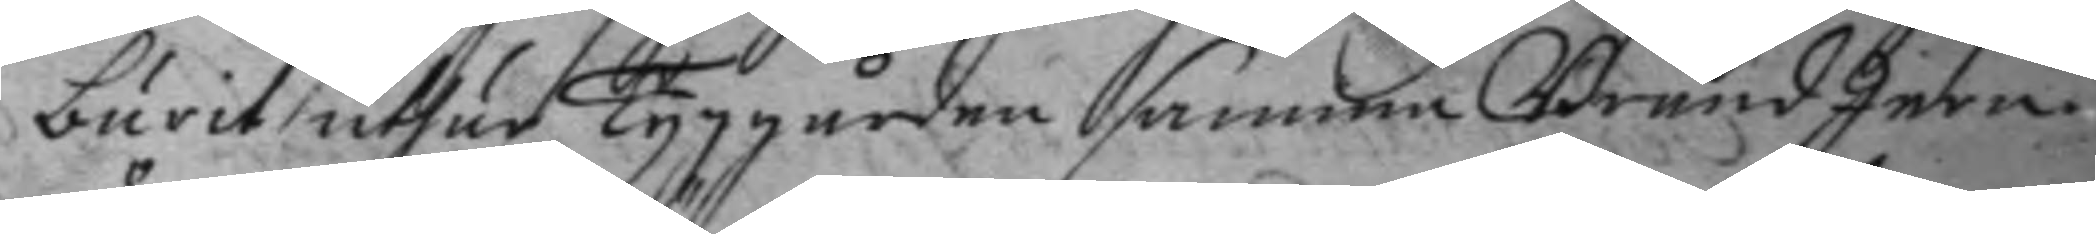burit uthur Tyggården samma Brend Jern.
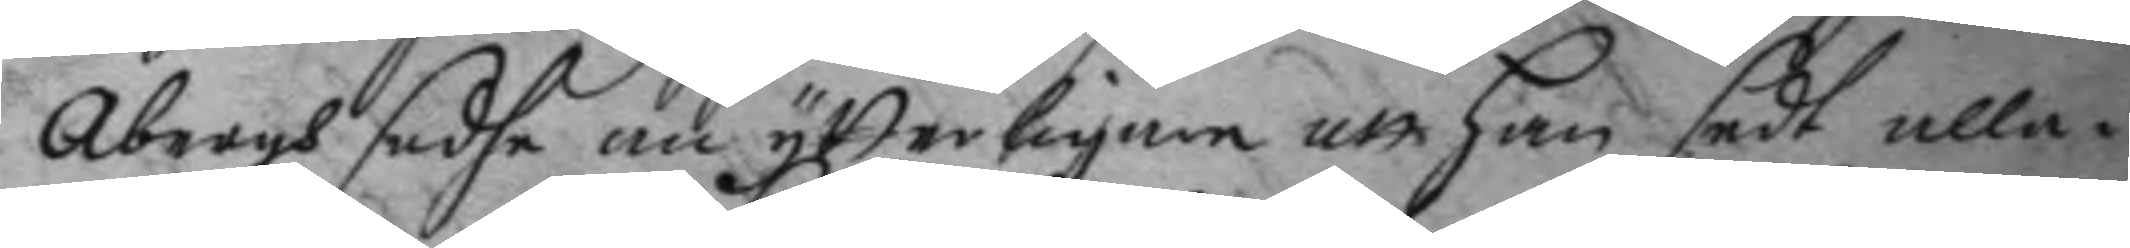Åbergh sadhe än ytterligare att han sedt alla i
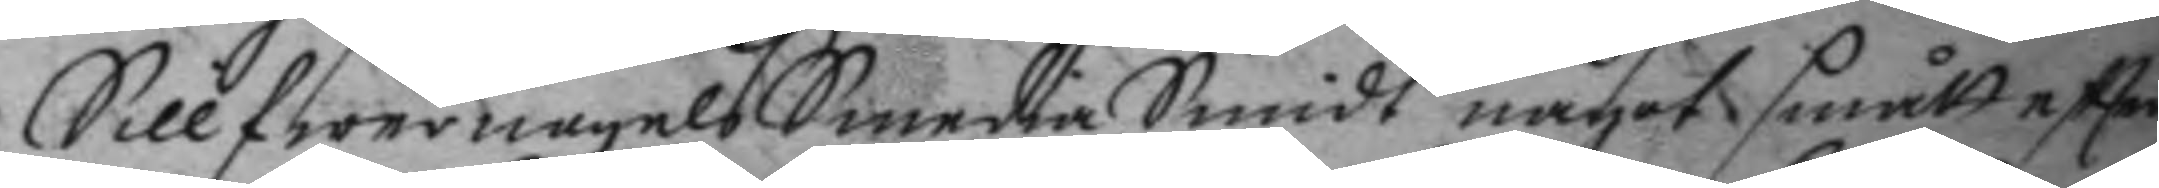Sillfwernagels Smedia Smidt något smått eftter
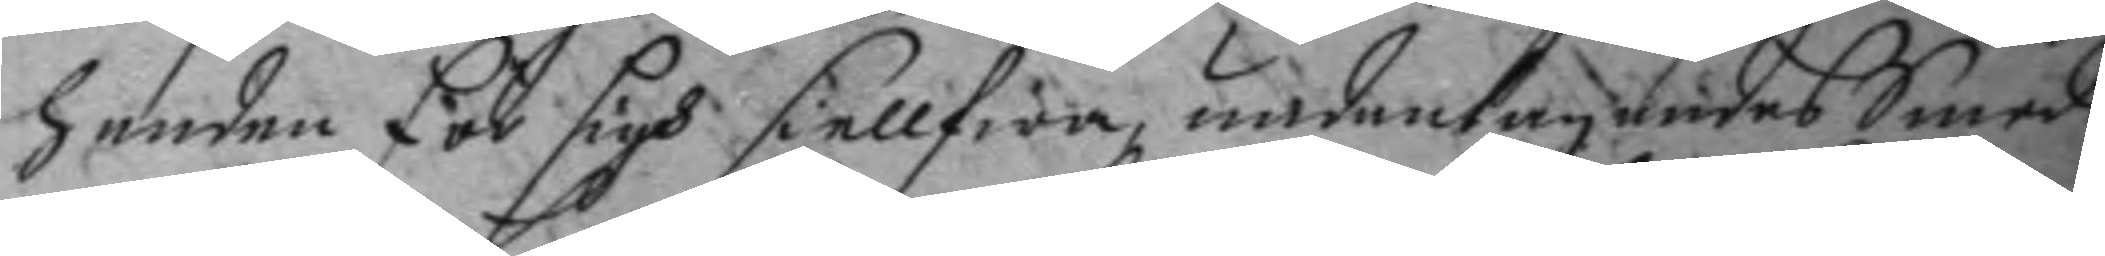handen för sigh siellfwa, undantagandes Smed¬
